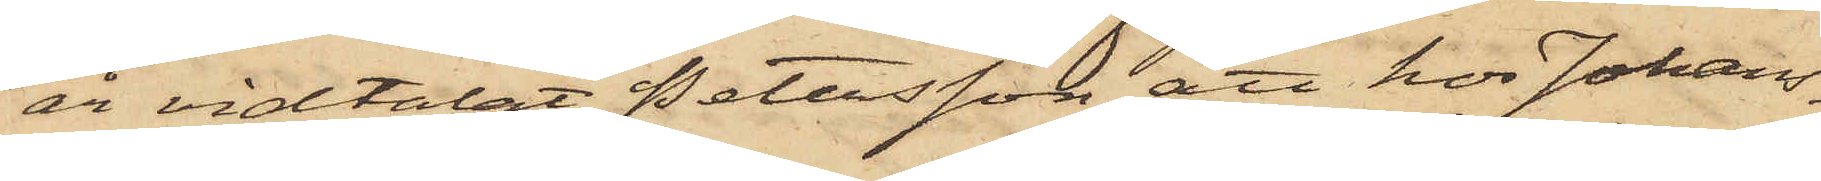år vidtalat Petersson att hos Johans¬
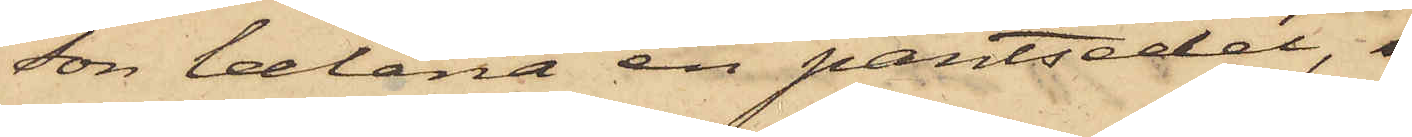son belåna en pantsedel,
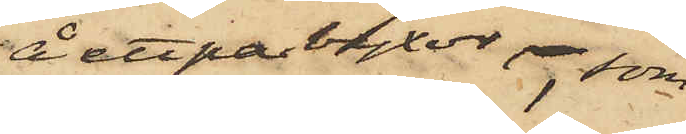å ett par byxor, som
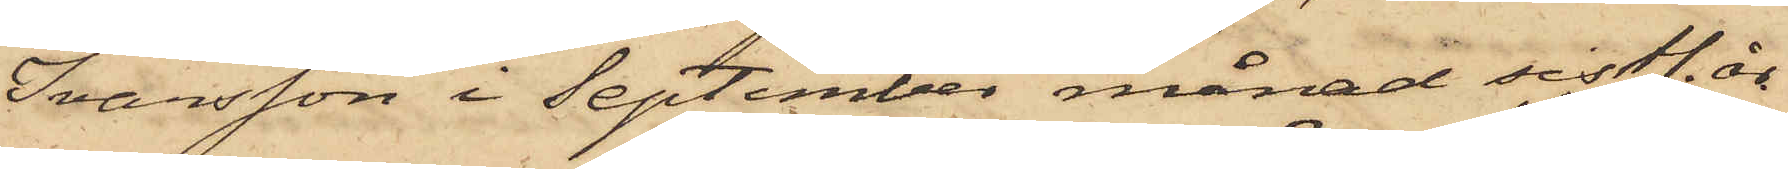Ivarsson i September månad sistl. år
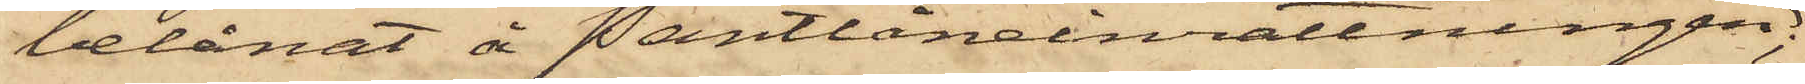belånat å Pantlåneinrättningen
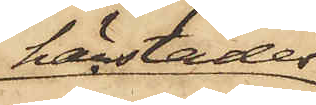härstädes;
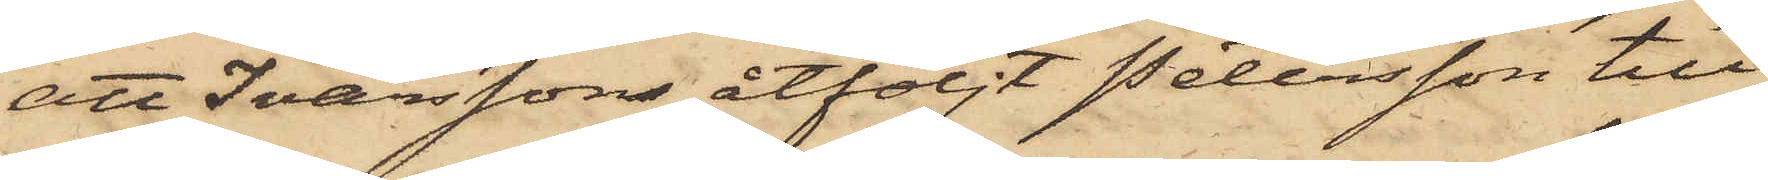att Ivarsson åtföljt Petersson till
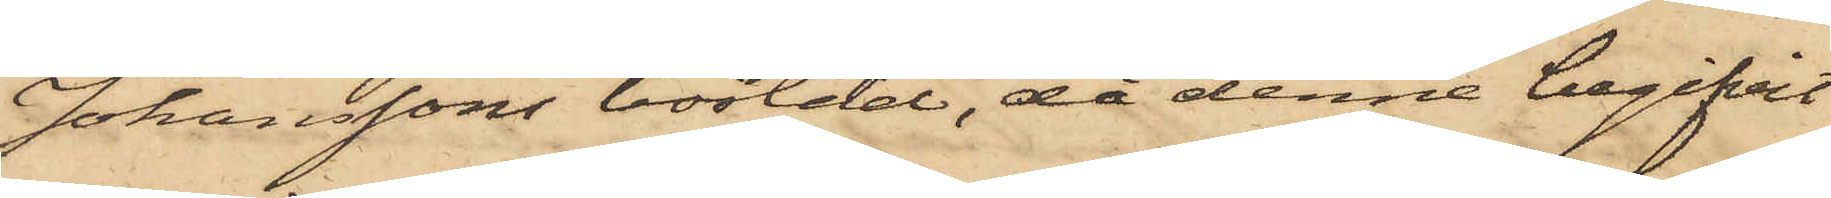Johanssons bostad, då denne begifvit
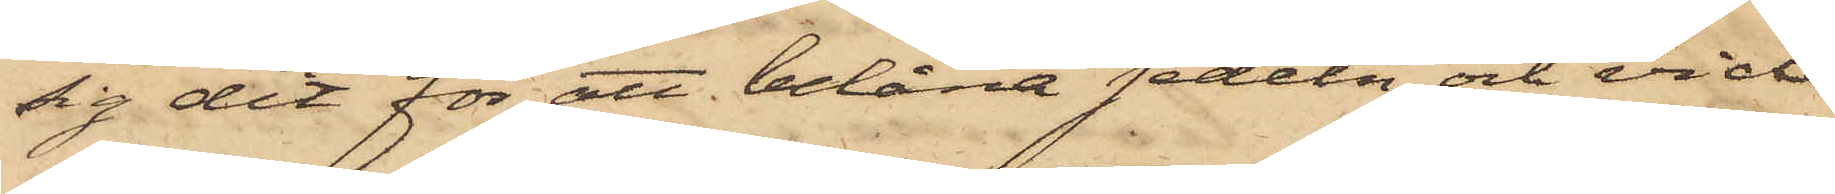sig dit för att belåna sedeln, och vid
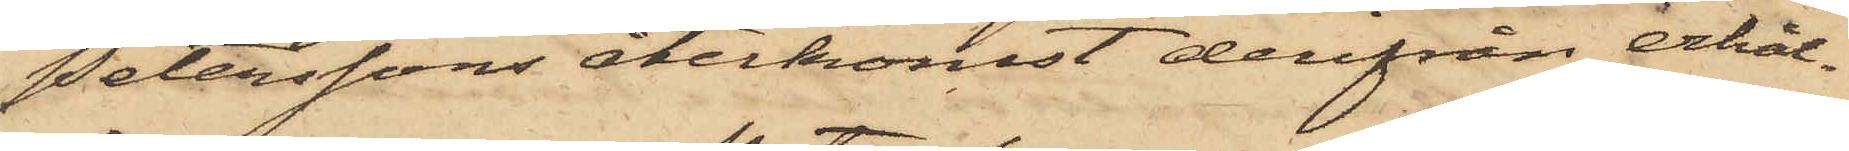Peterssons återkomst derifrån erhål¬
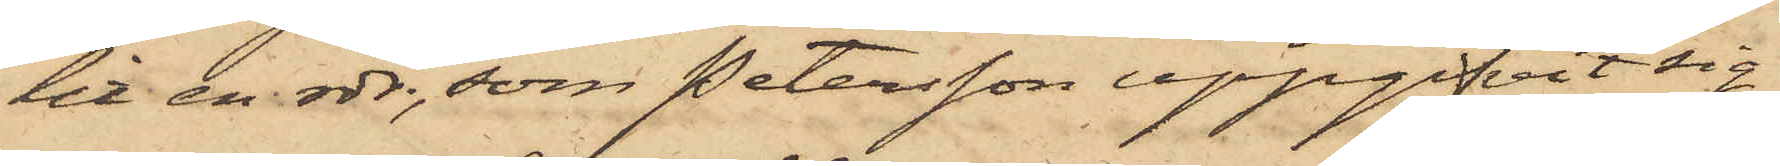lit en rdr, som Petersson uppgifvit sig
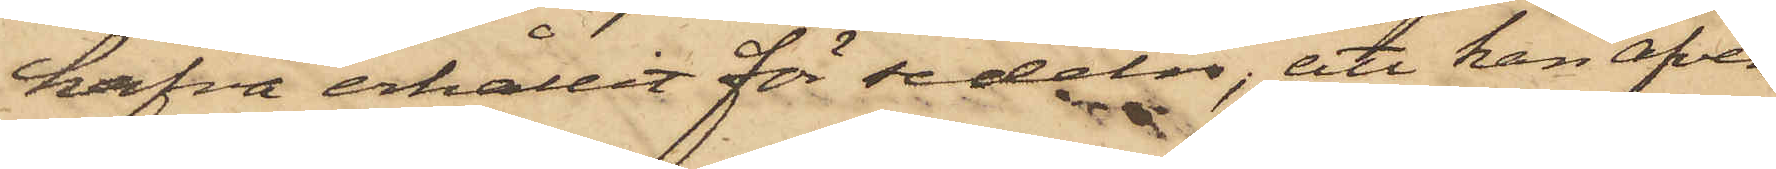hafva erhållit för sedeln; att han äfven
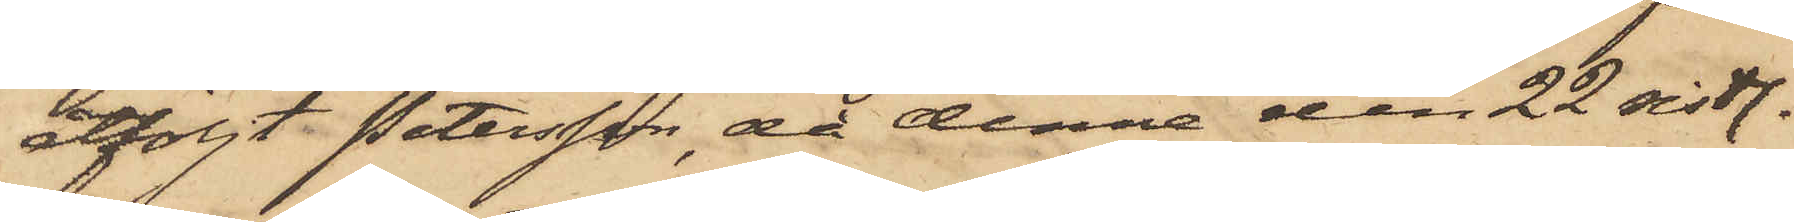åtföljt Petersson, då denne den 22 sistl.
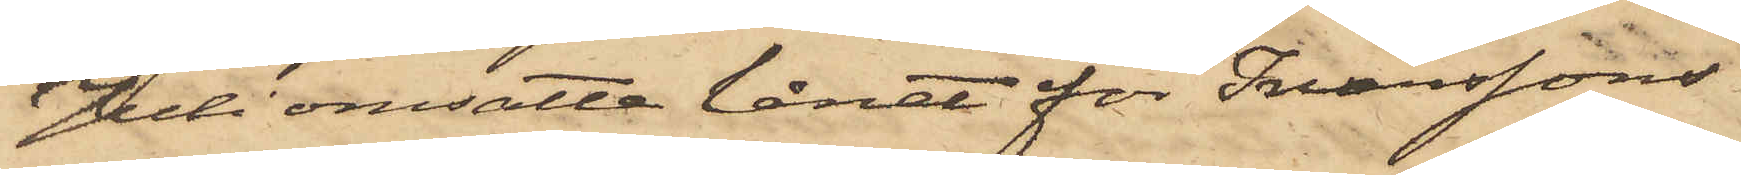Juli omsatte lånet för Ivarssons
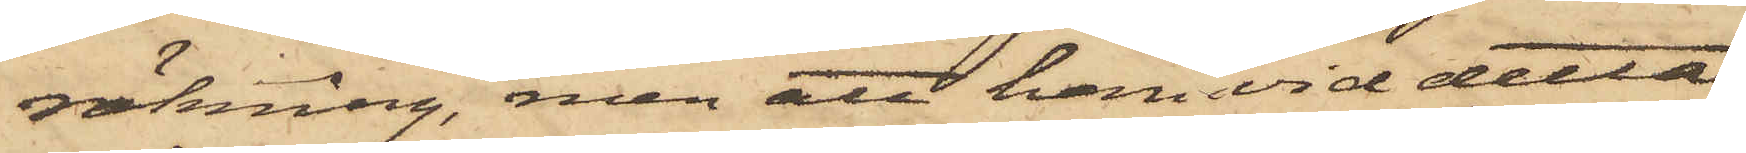räkning, men att han vid detta
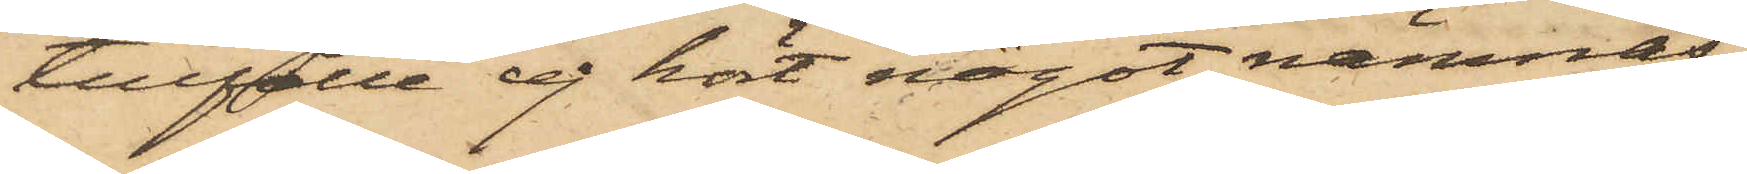tillfälle ej hört något nämnas
